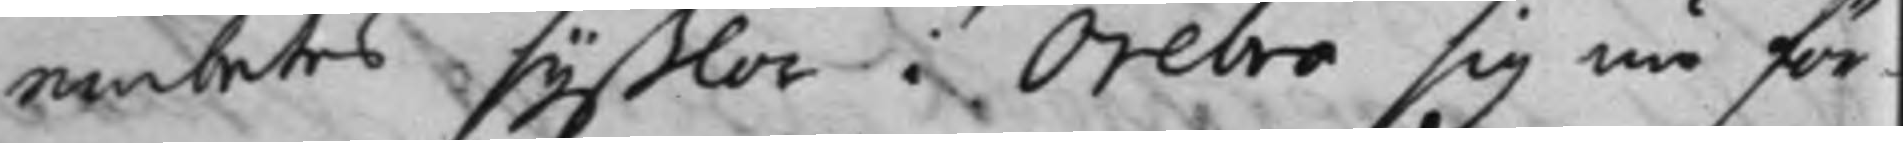embets syßlor i Örebro sig nu för¬
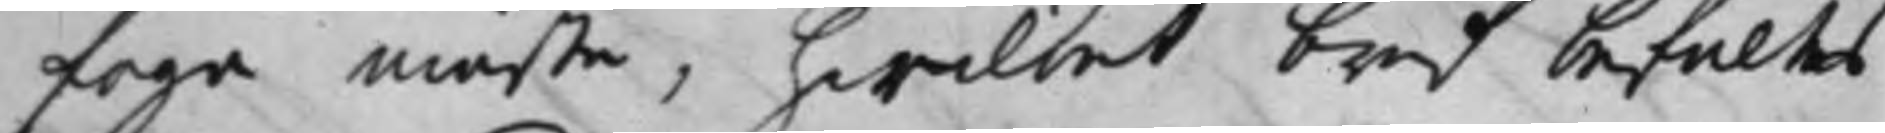foga måste, hwilket bref befaltes
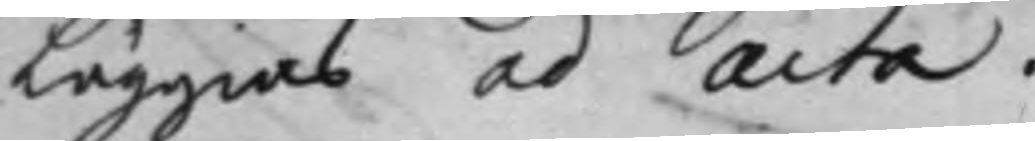Läggas ad acta.
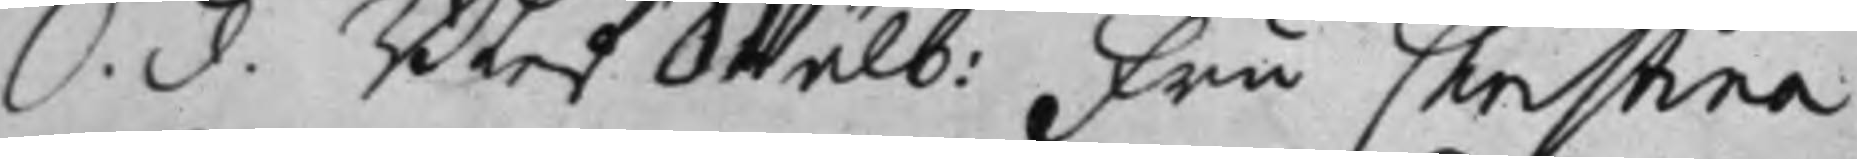S. d. Blef Wälb: Fru Christina
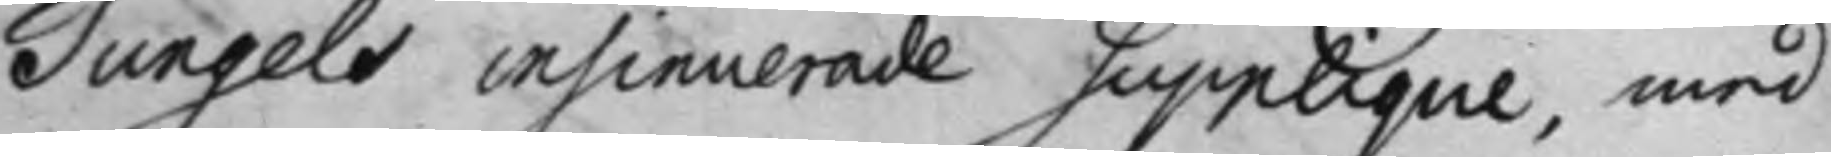Tungels insinuerade Supplique, med
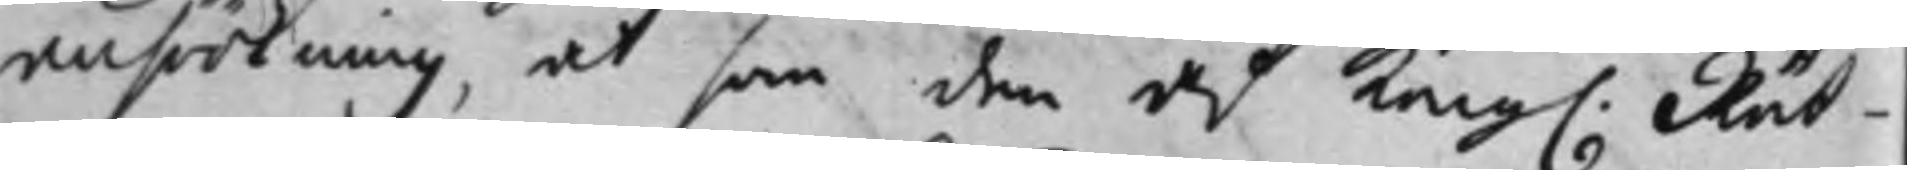ansökning, at som den af Kong. Rät¬
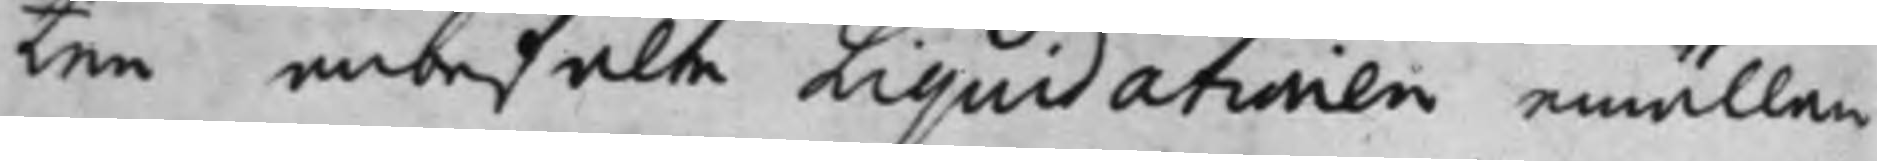ten anbefalte Liquidationen emällan
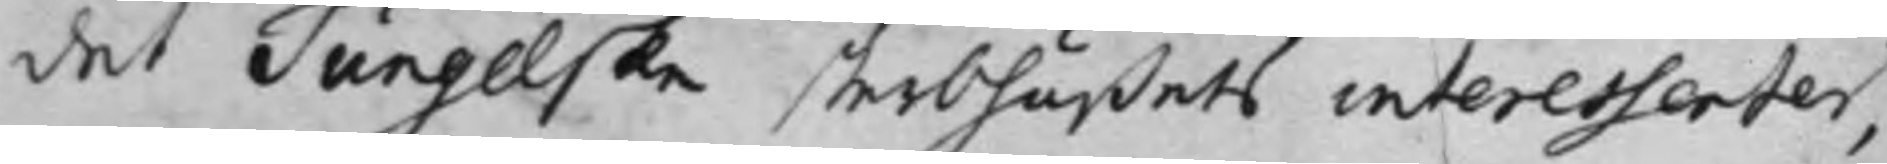det Tungelska sterbhußets interessenter,
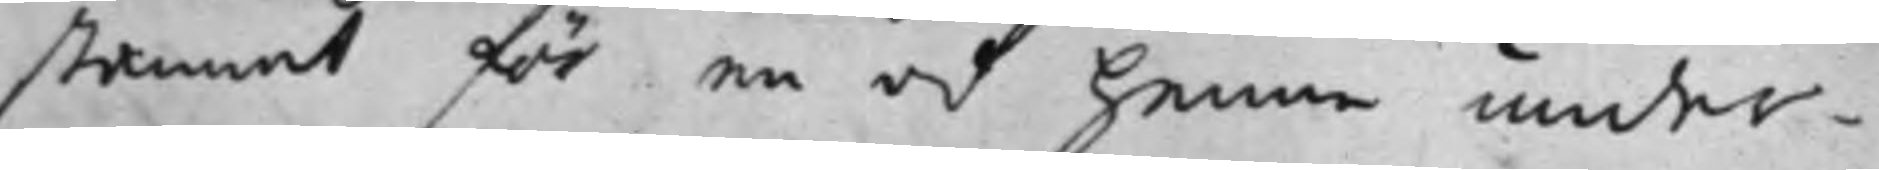stannat för en af henne under¬
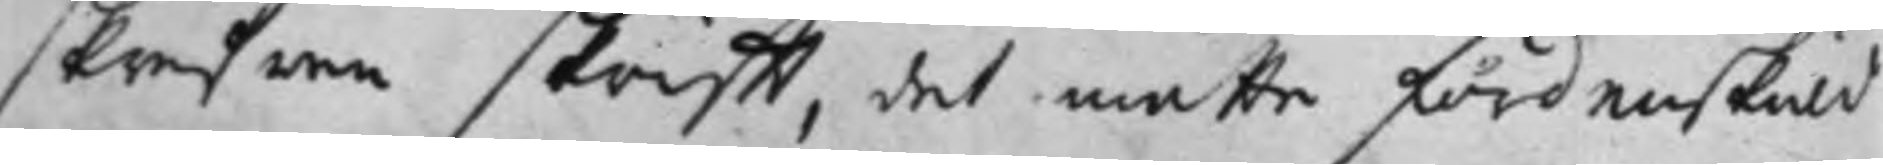skrefwen skrift, det måtte fördenskuld
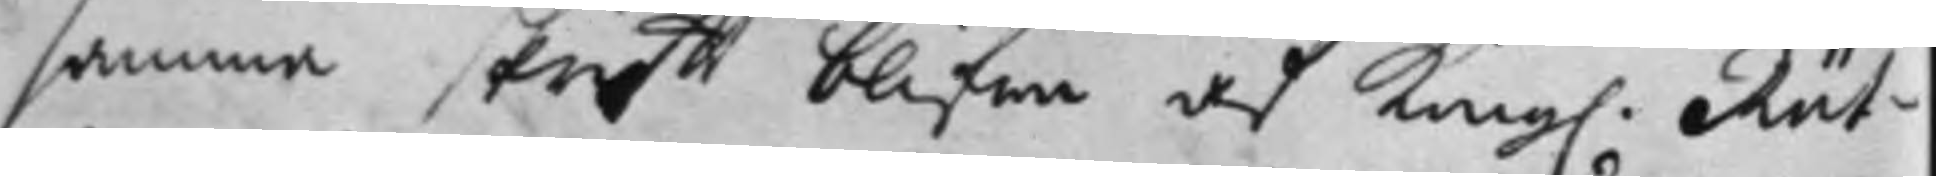samma skrift blifwa af Kong. Rät¬
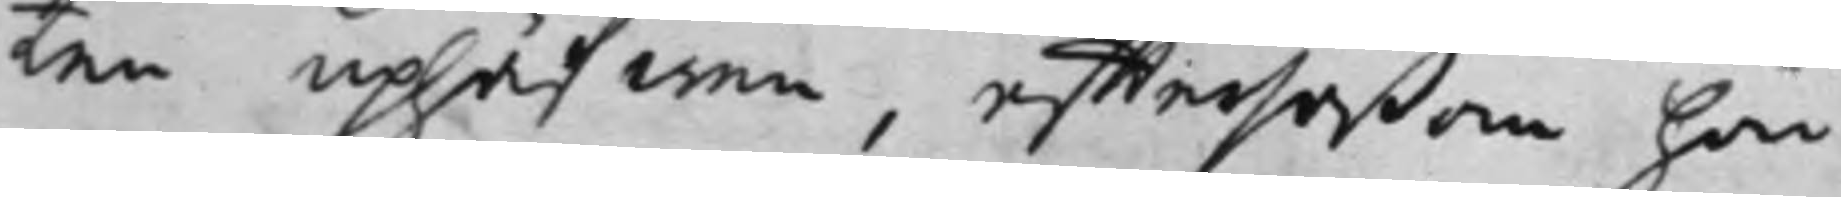ten uphäfwen, efftersåßom hon
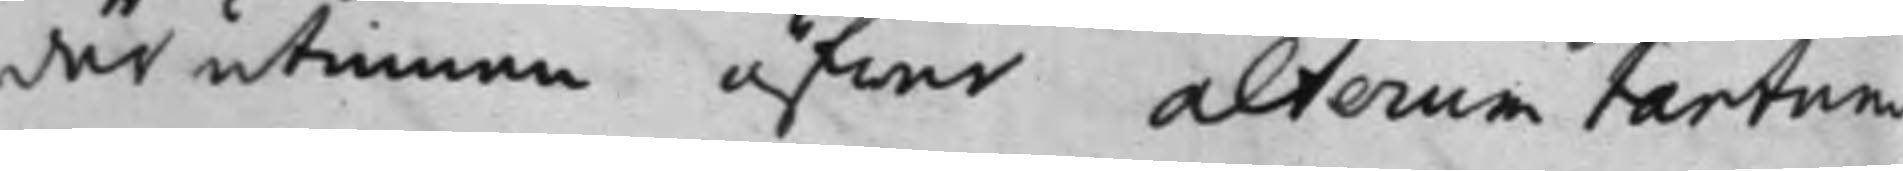därutinnan öfwer alterum tantum
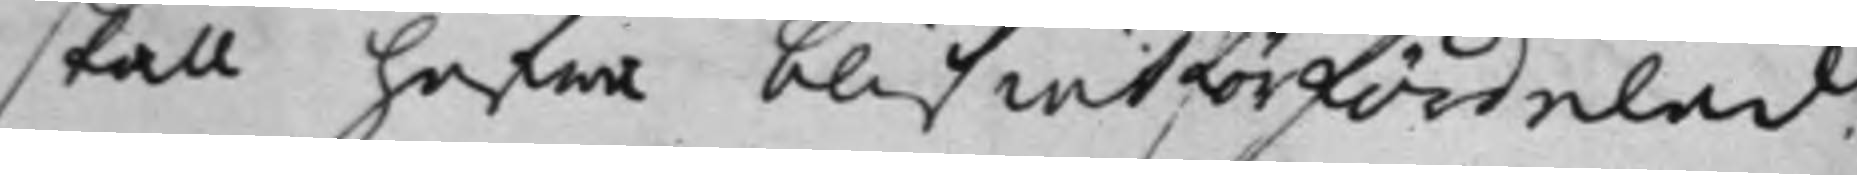skall hafwa blifwit förfördelad.
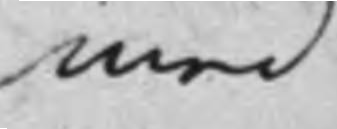med
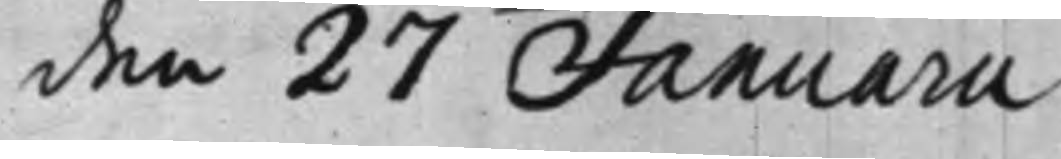den 27 Januarii
